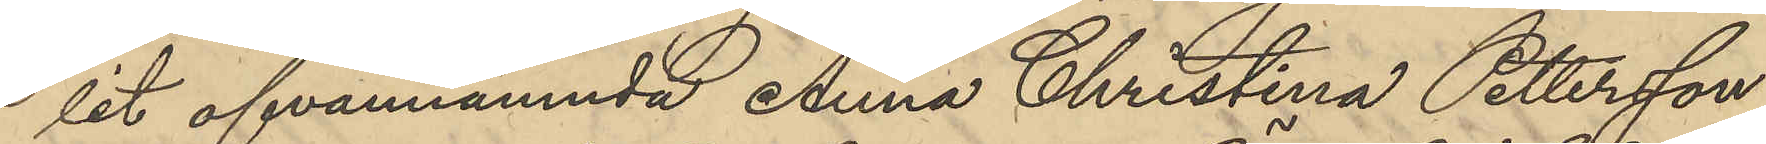lit ofvannämnda Anna Christina Pettersson,
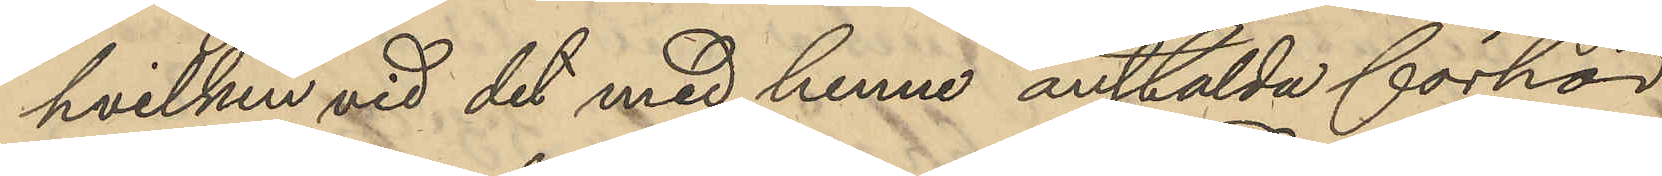hvilken vid det med henne anstälda förhör
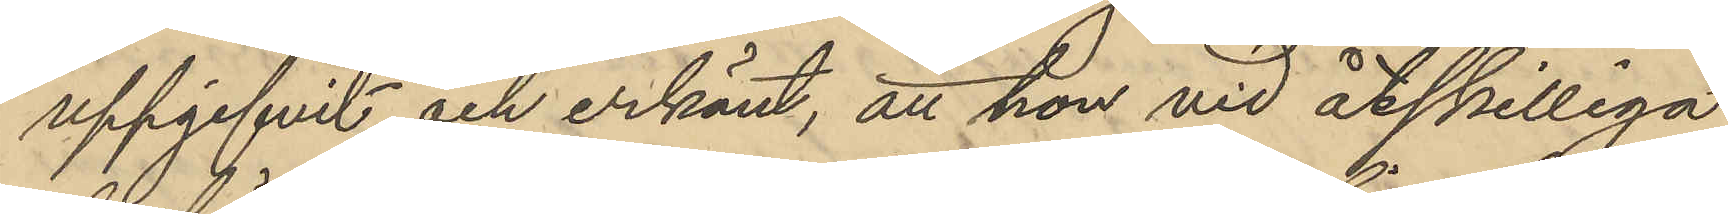uppgifvit och erkänt, att hon vid åtskilliga
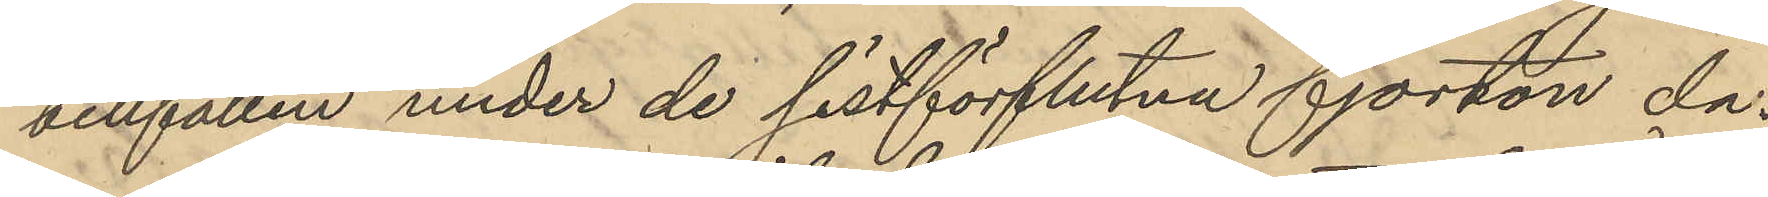tillfällen under de sistförflutna fjorton da¬
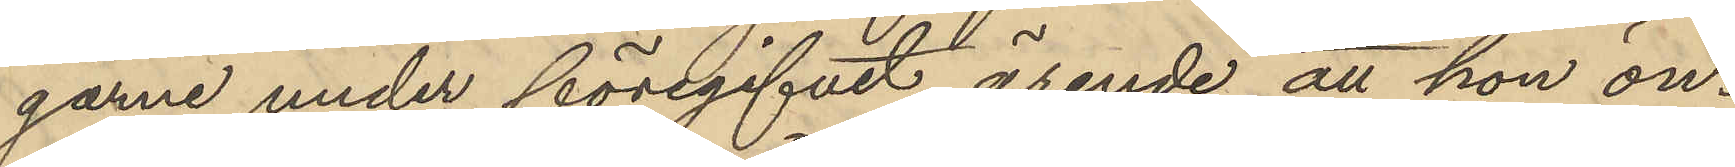garne under föregifvet ärende att hon ön¬
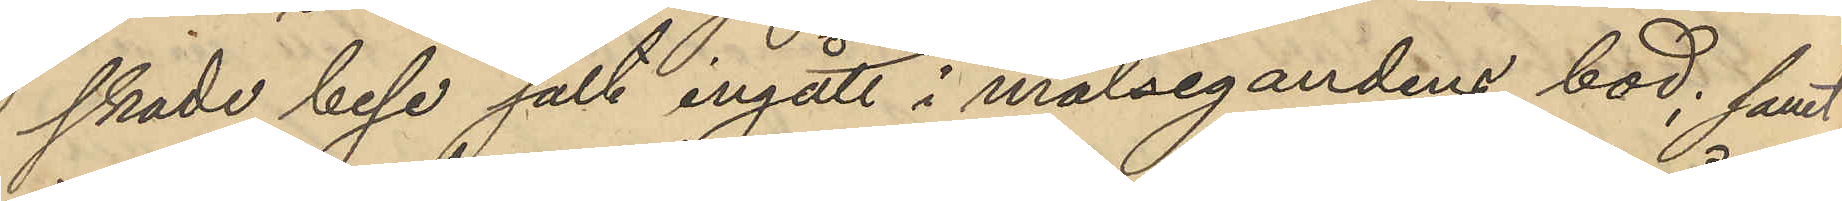skade bese salt ingått i målsegandens bod; samt
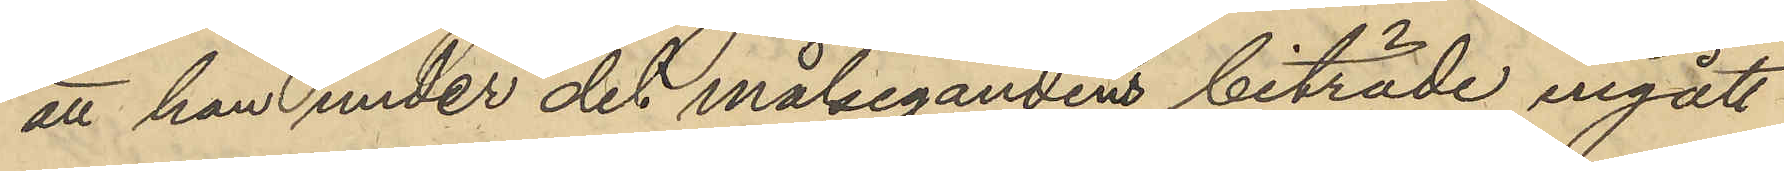att hon under det målsegandens biträde ingått
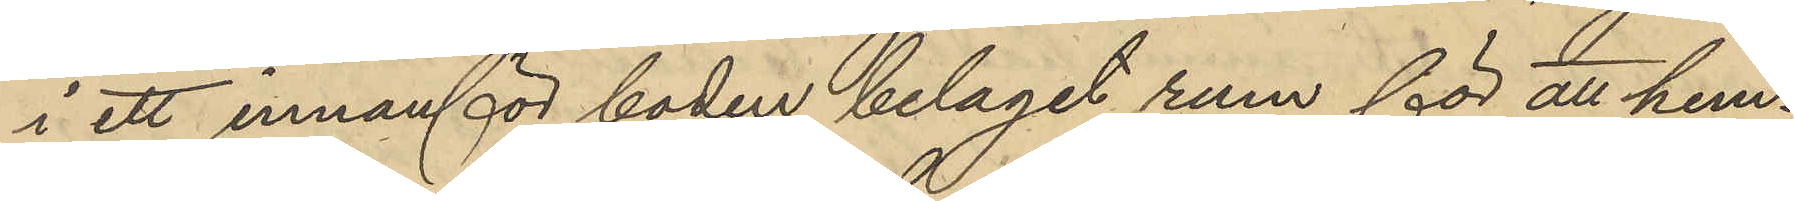i ett innanför boden beläget rum för att hem¬
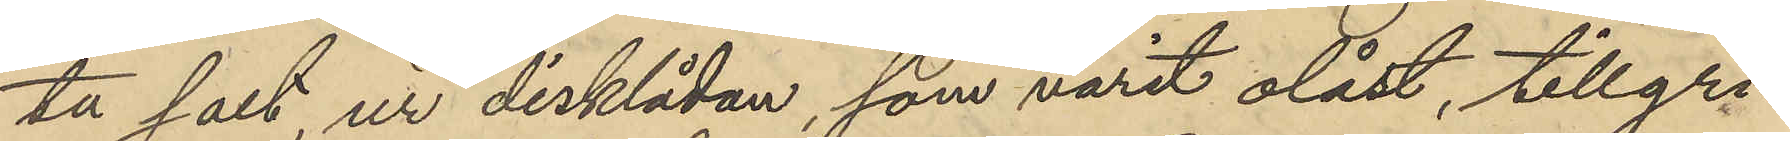ter salt ur disklådan, som varit olåst, tillgri¬
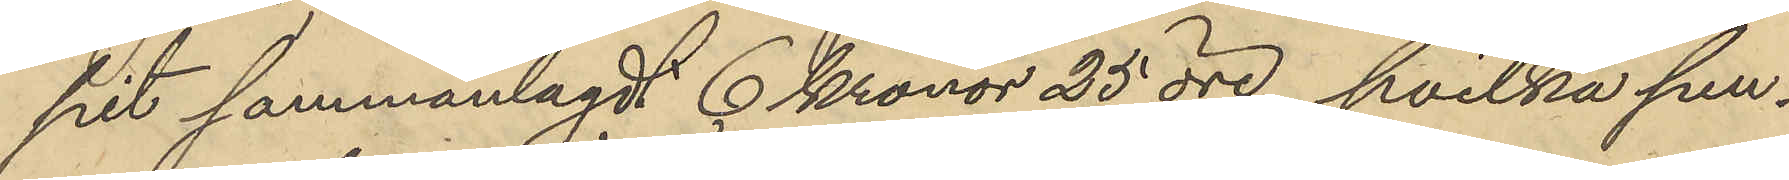pit sammanlagdt 6 Kronor 25 öre, hvilka pen¬
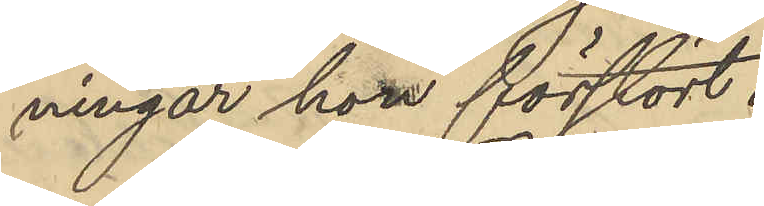ningar hon förstört.
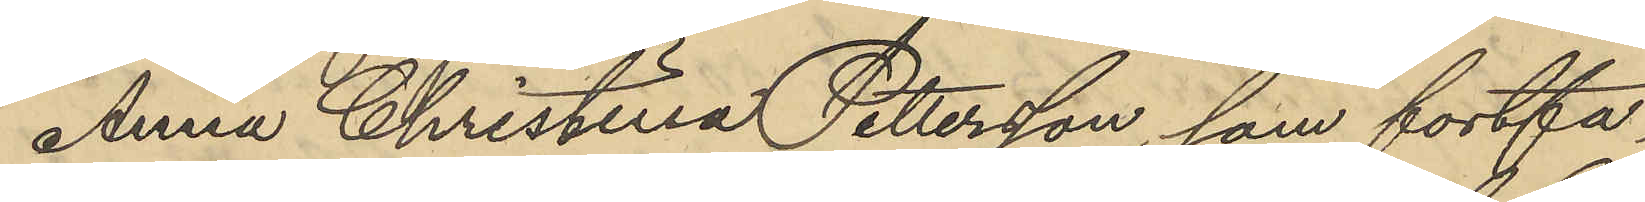Anna Christina Pettersson, som fortfa¬
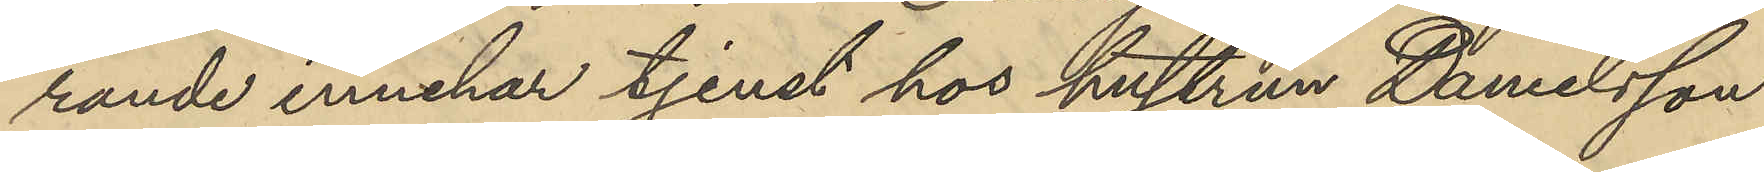rande innehar tjenst hos hustrun Danielsson
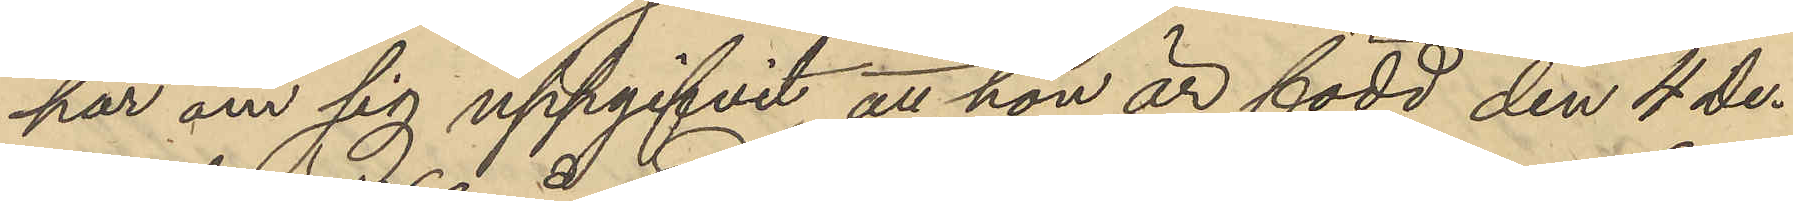har om sig uppgifvit, att hon är född den 4 De¬
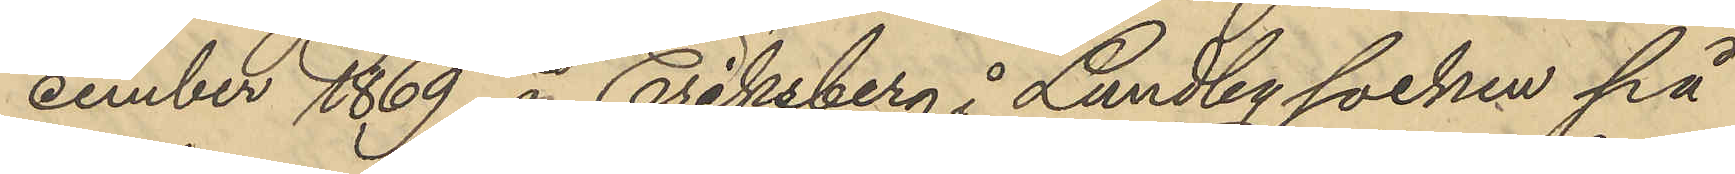cember 1869 å Eriksberg i Lundby socken på
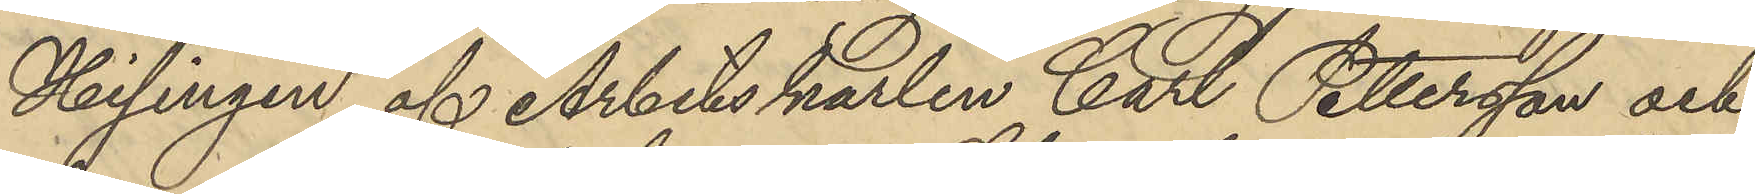Hisingen af Arbetskarlen Carl Pettersson och
